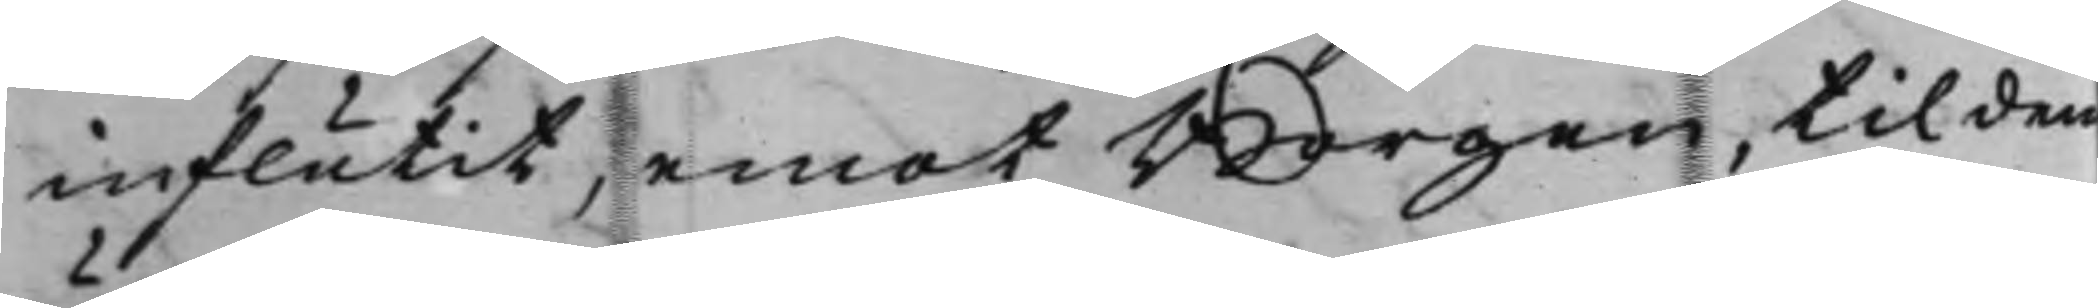influtit, emot Borgen, til den
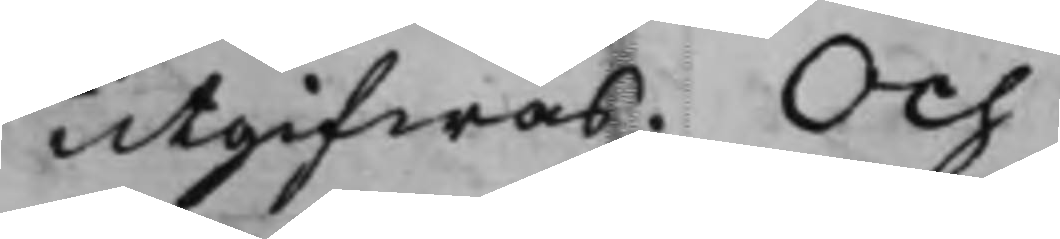utgifwas. Och
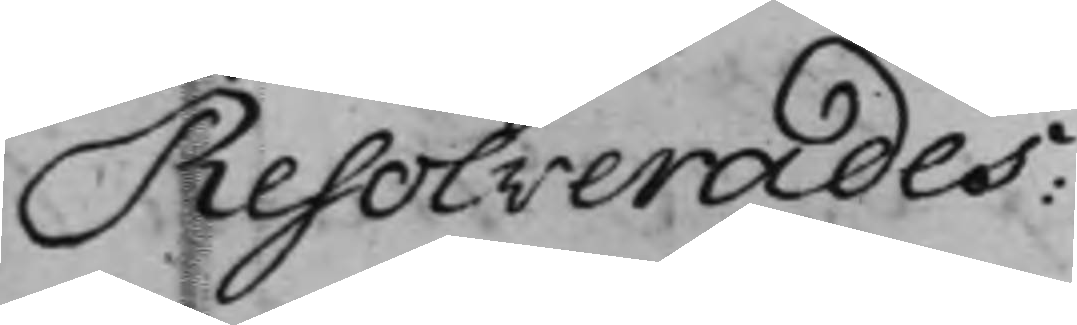Resolverades:
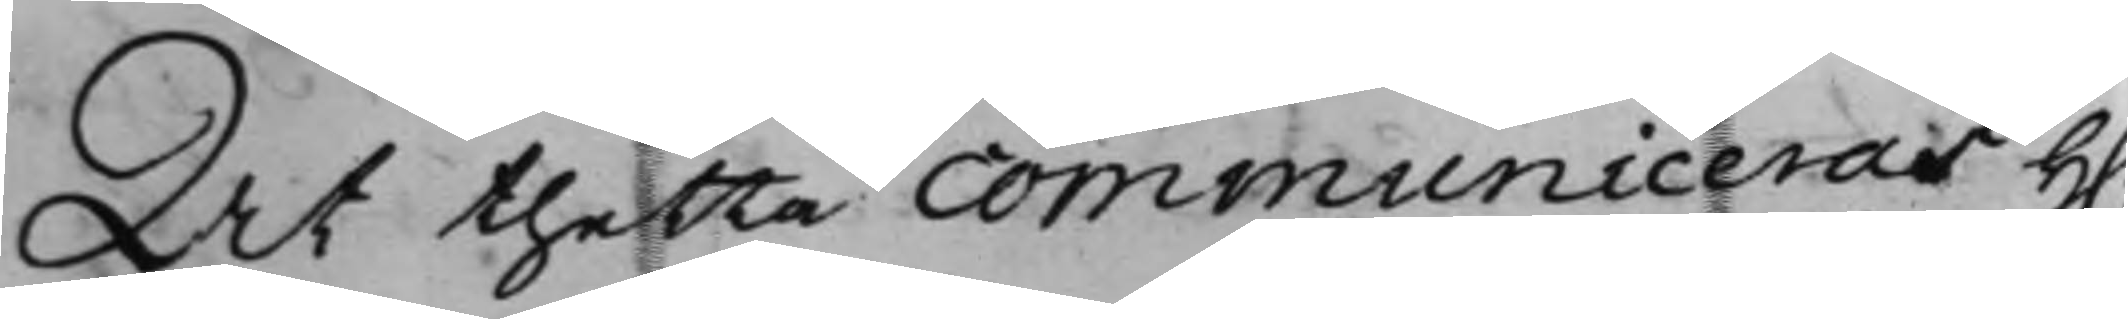At thetta communiceras H.
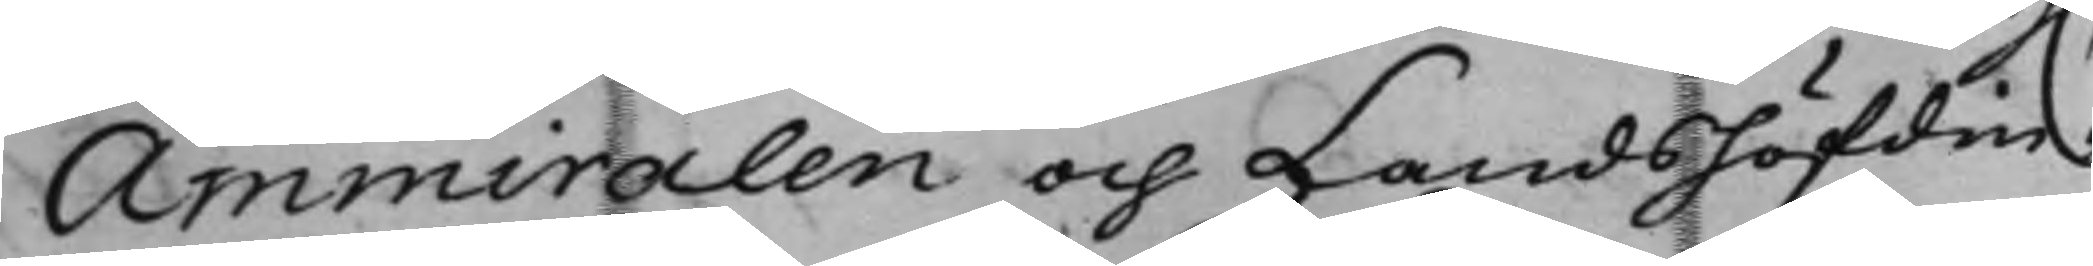Ammiralen och Landshöfdin¬
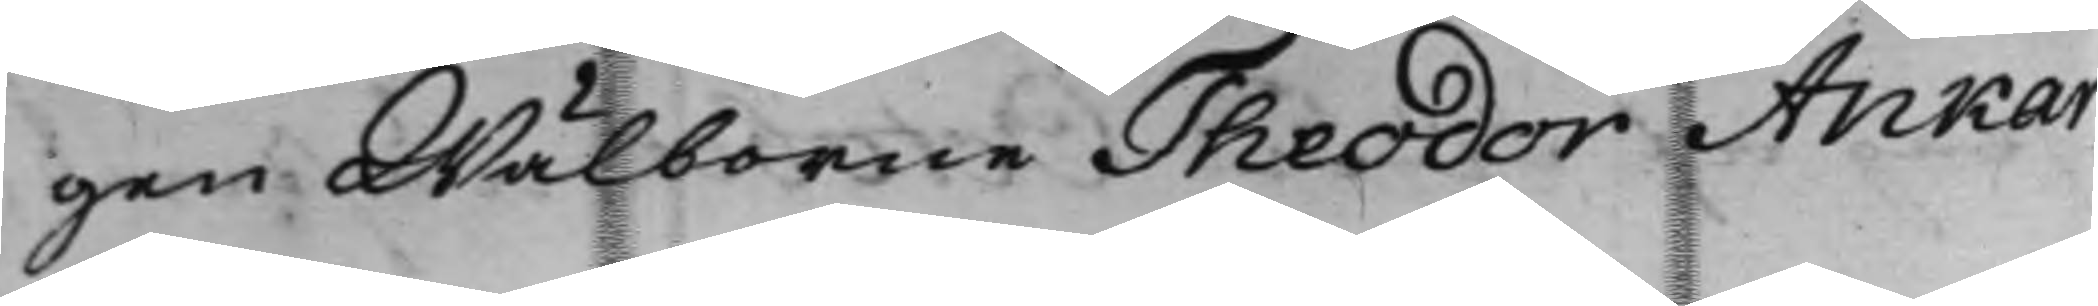gen Wälborne Theodor Ankar¬
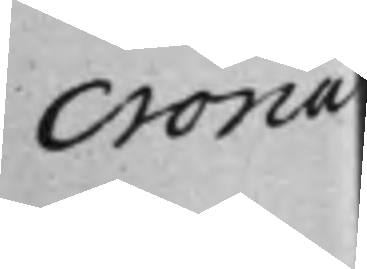crona
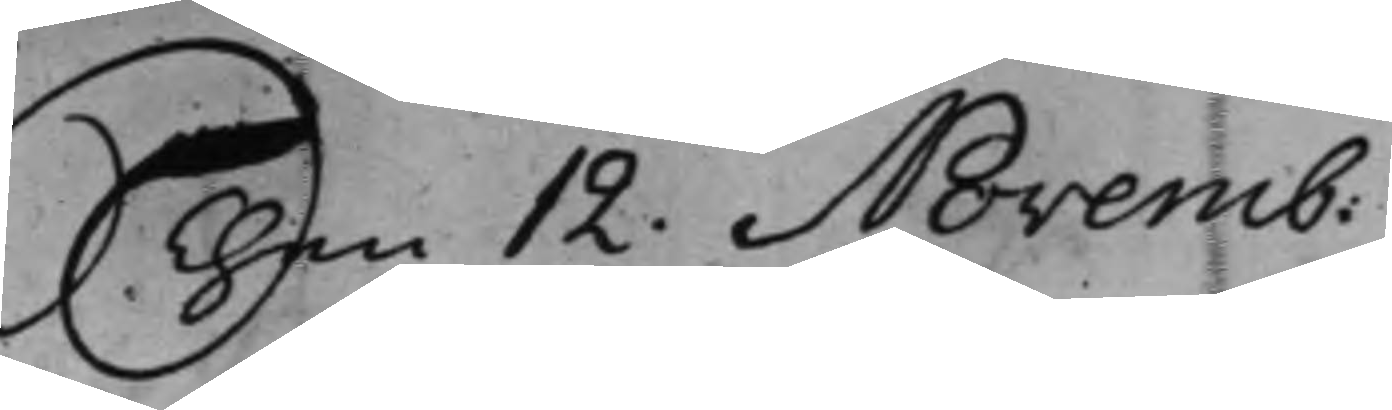Then 12. Novemb:
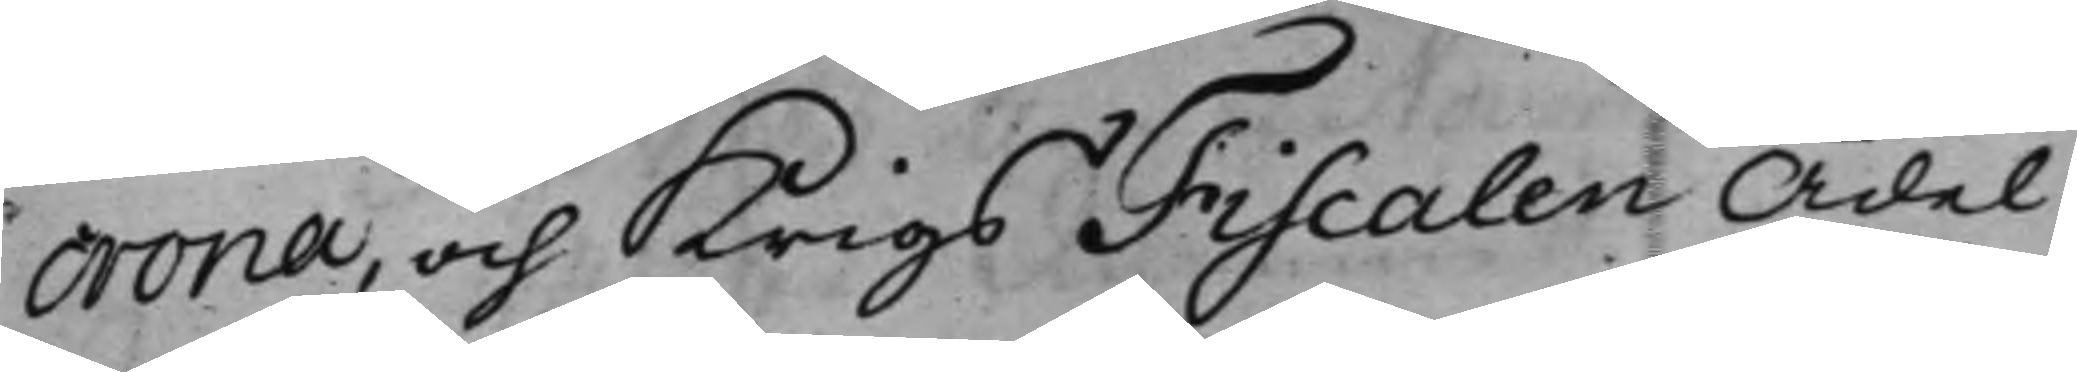crona, och KrigsFiscalen Ädel
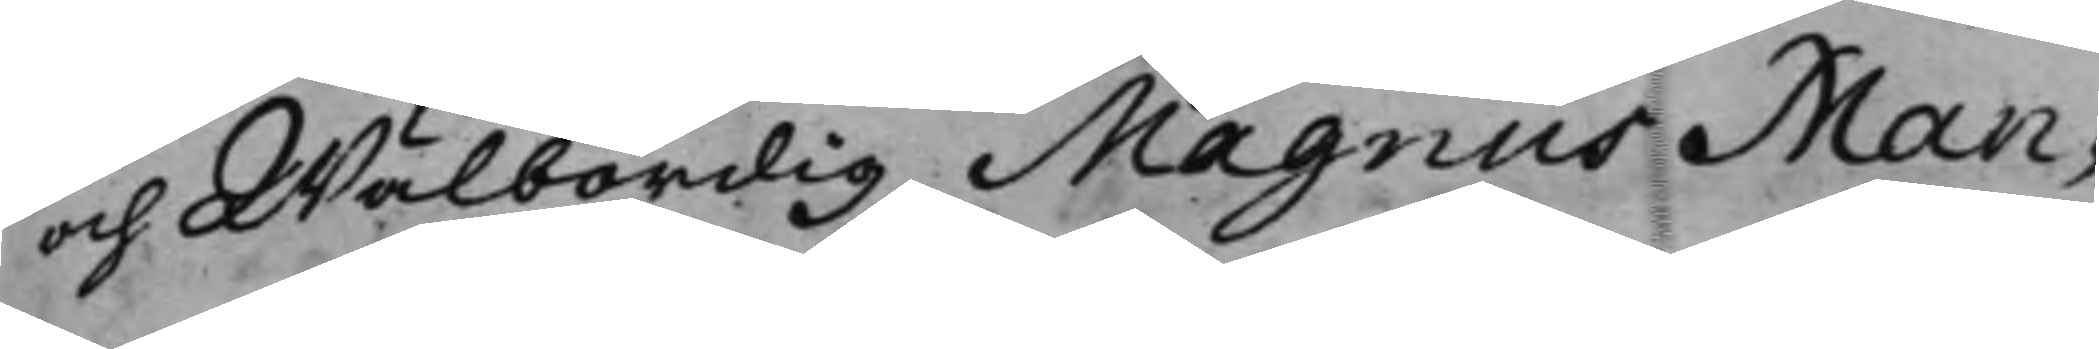och Wälbördig Magnus Man¬
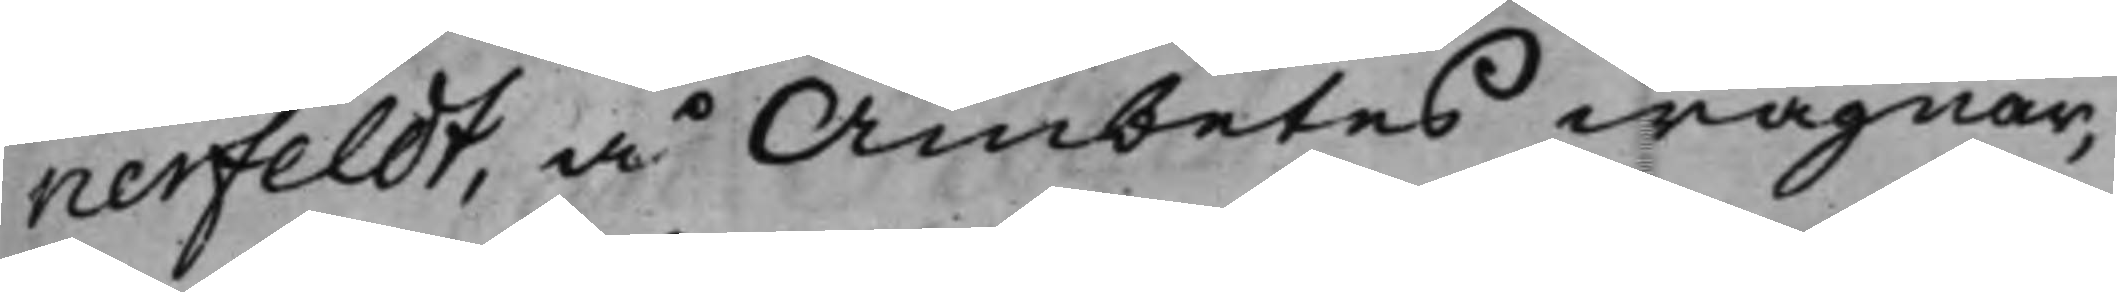nerfeldt, å Ämbetes wägnar,
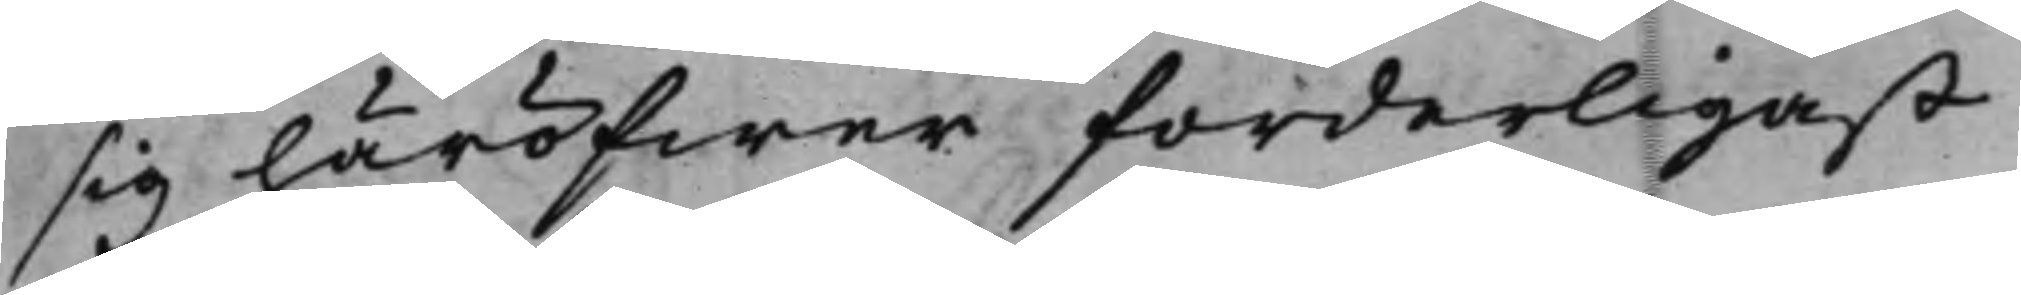sig häröfwer forderligast
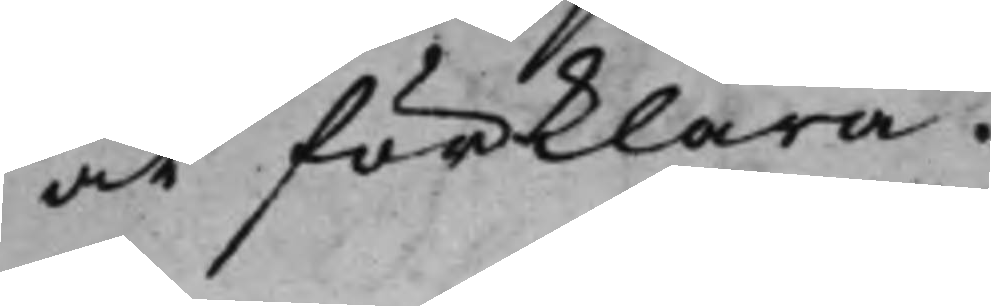at förklara.
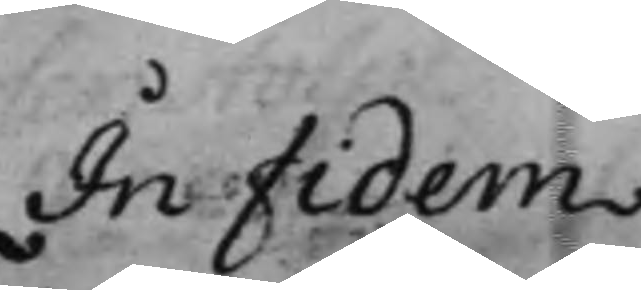In Fidem
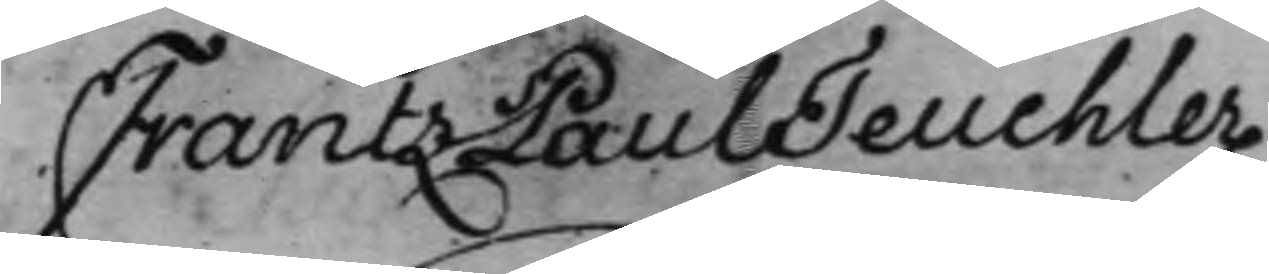Frantz Paul Teuchler
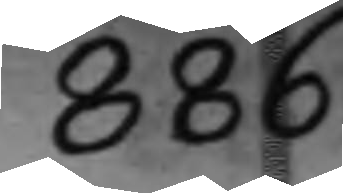886
